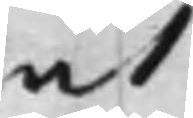at
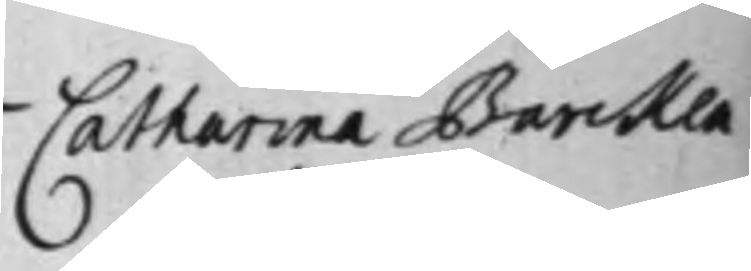Catharina Barcken¬
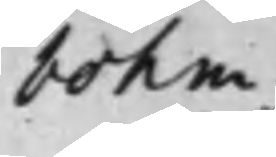bohm
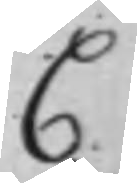C
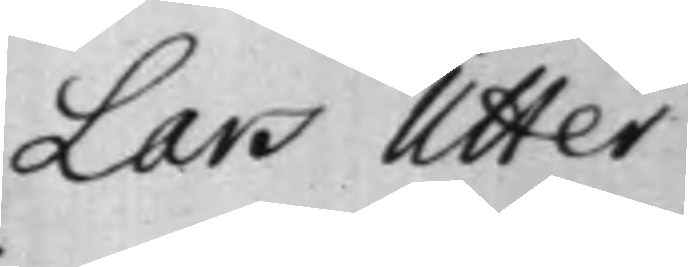Lars Utter.
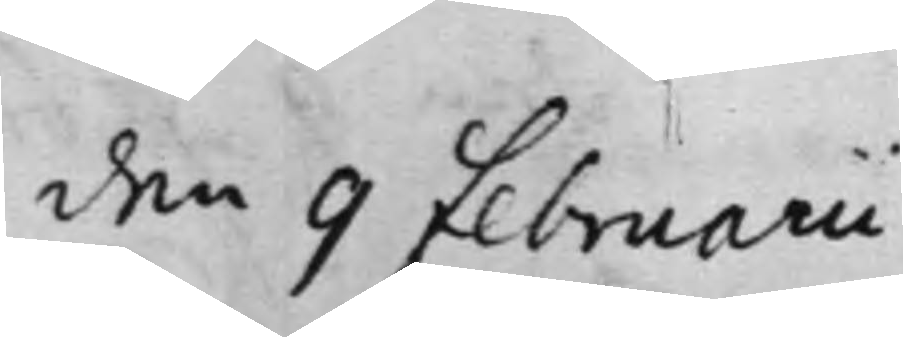den 9 Februarii
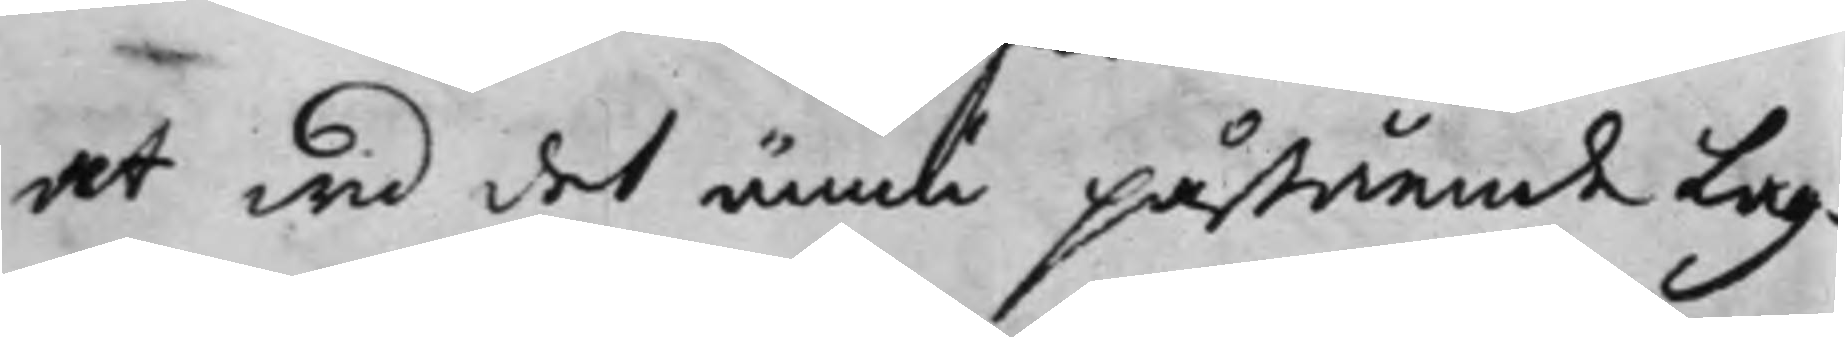at wid det ännu påstående Lag¬
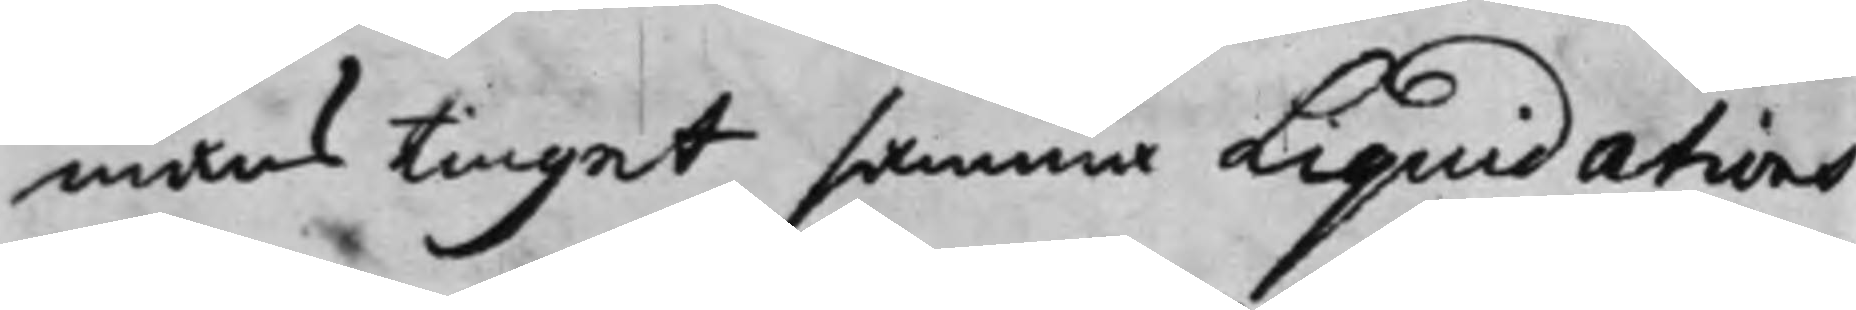mans Tinget samma Liquidations
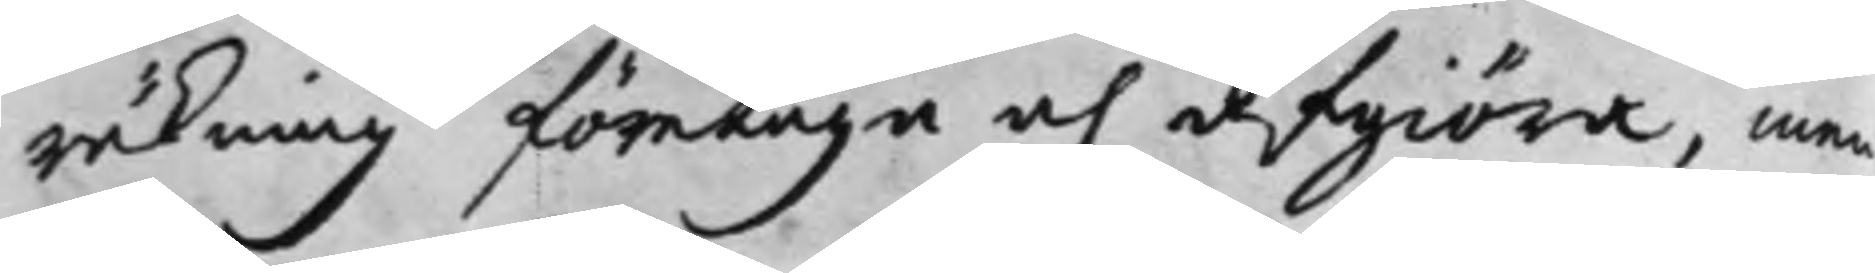räkning företaga och afgiöra, men
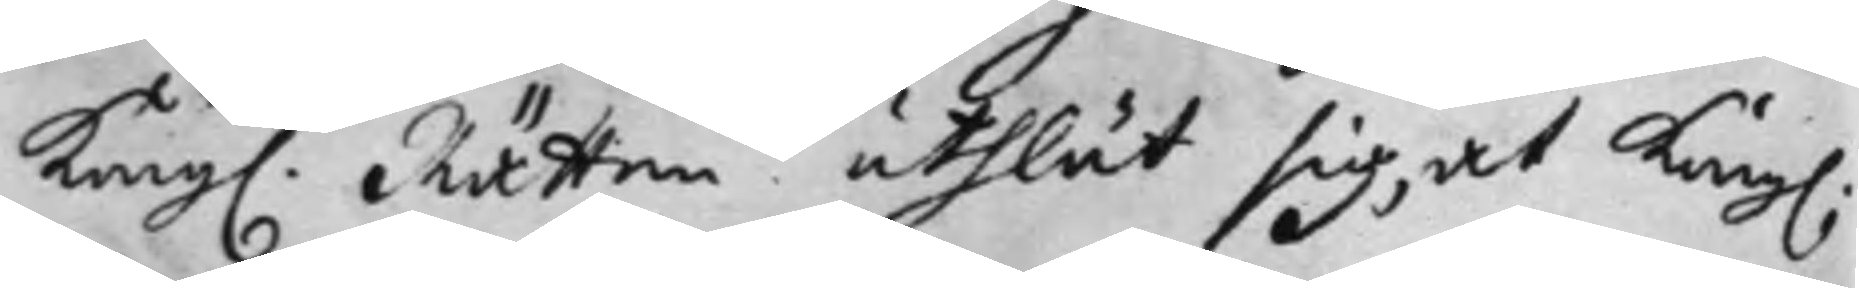Kong. Rätten uthlät sig, at Kong.
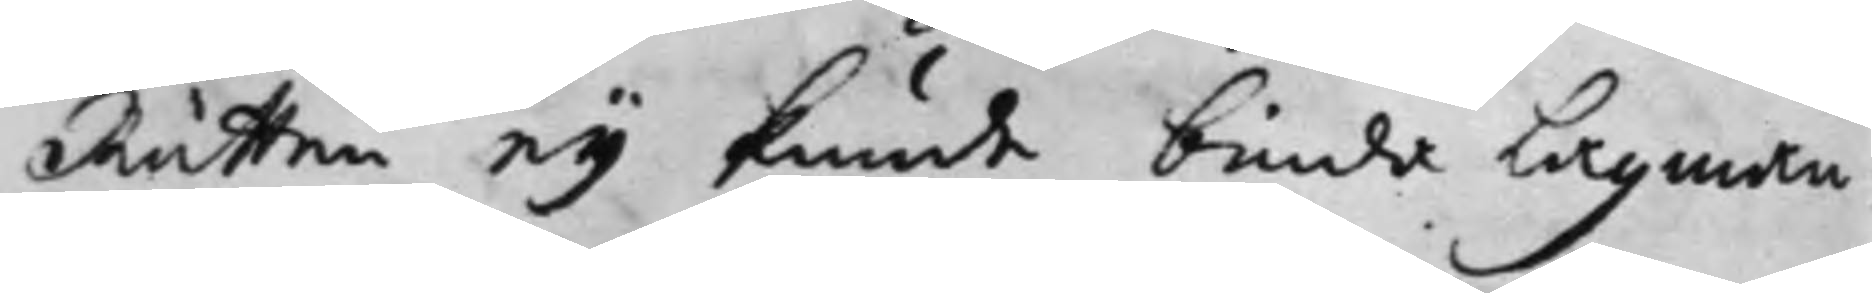Rätten ey kunde binda Lagman¬
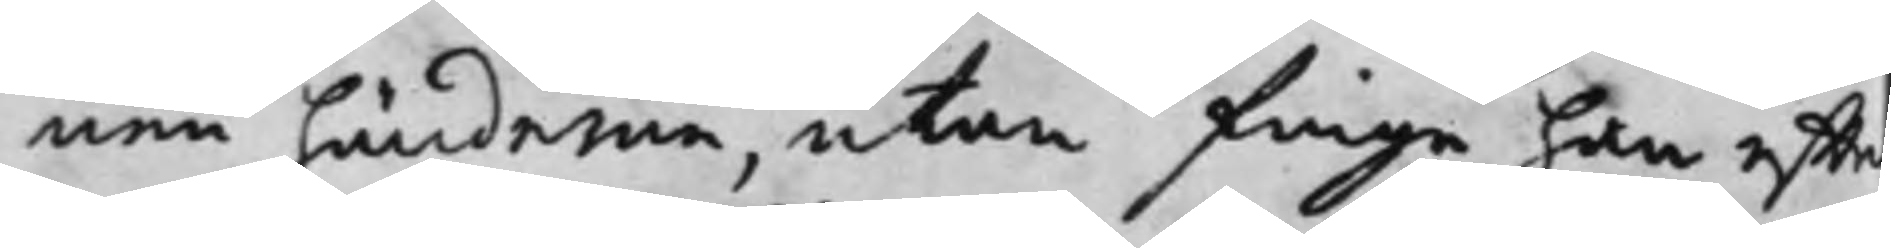nen händerna, utan finge han effte
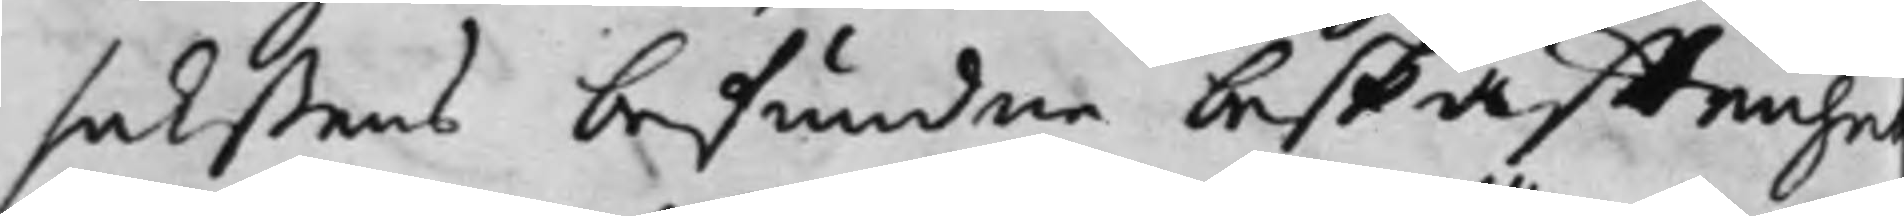sakßens befundne beskaffenhe
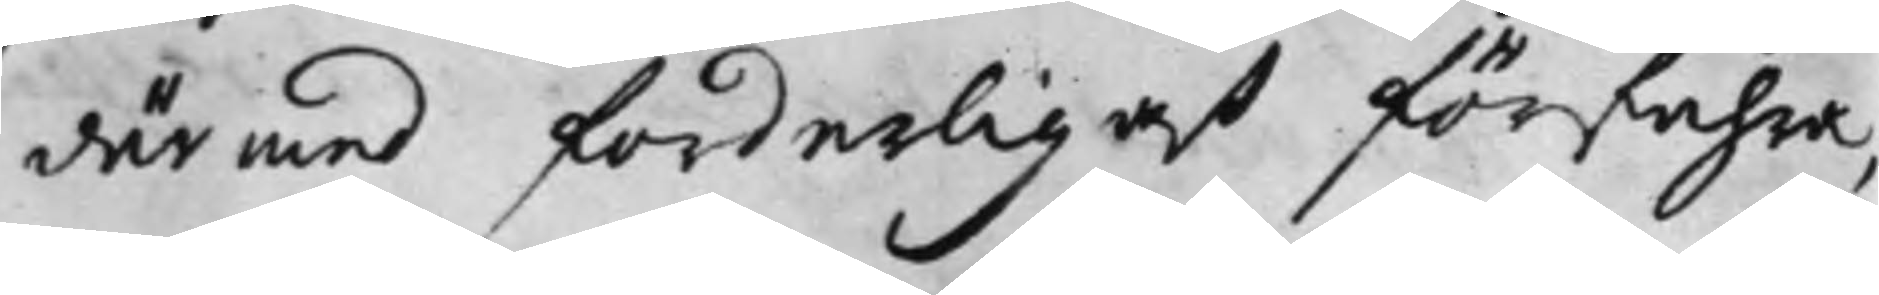därmed forderligast förfahra,
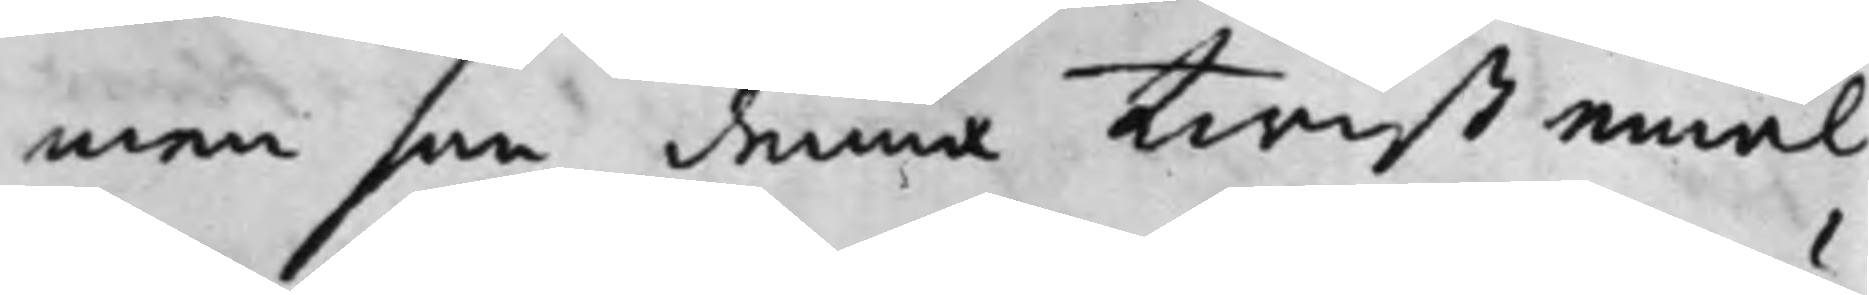men som denna Twist emäl¬
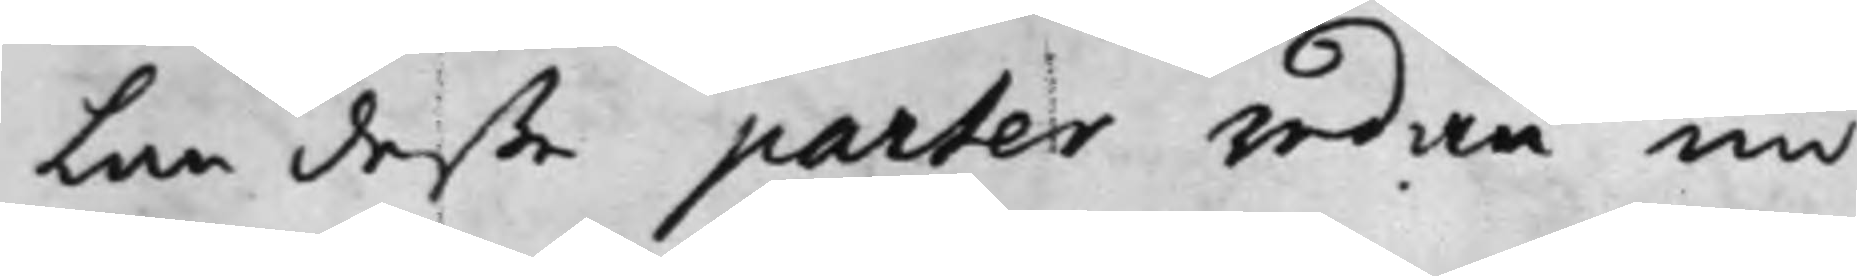lan deße parter redan nu
